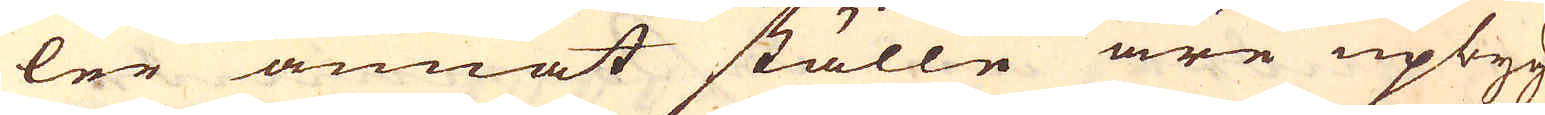ler annat ställe äre upbyg-
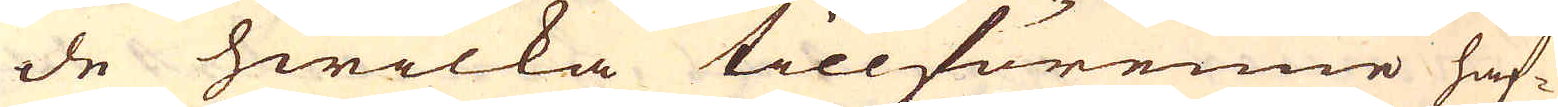de hwilka tillförenne haf-
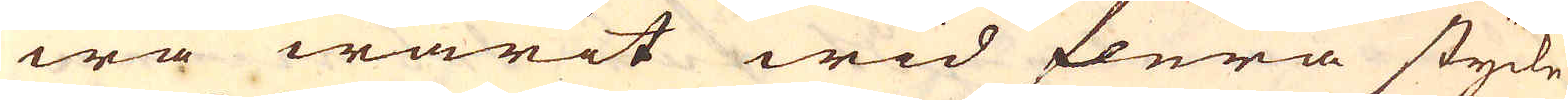wa warit wid flera stycke
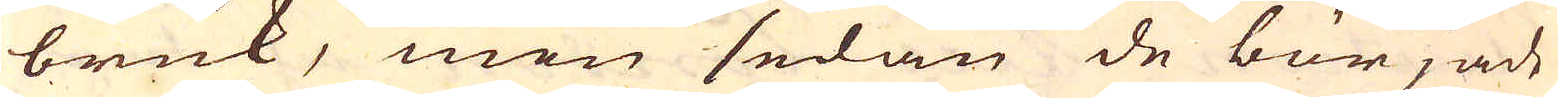bruk, men sedan de började
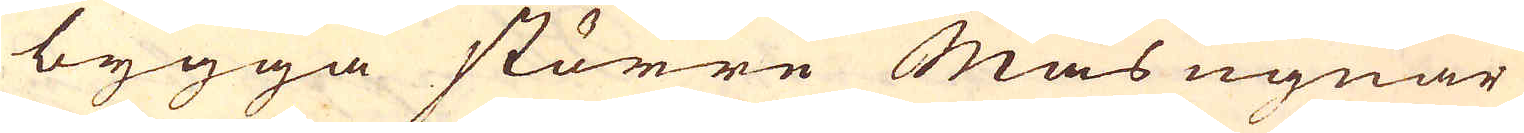bygga större Mas ugnar
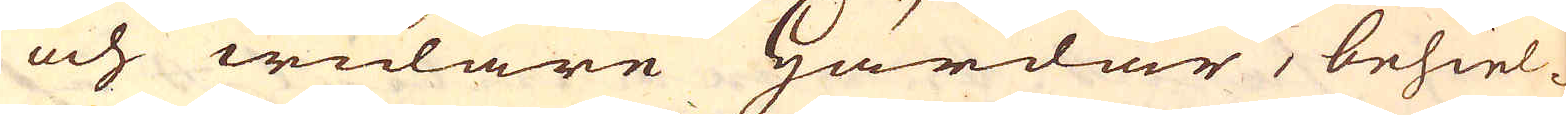och widare Härdar, behiel-
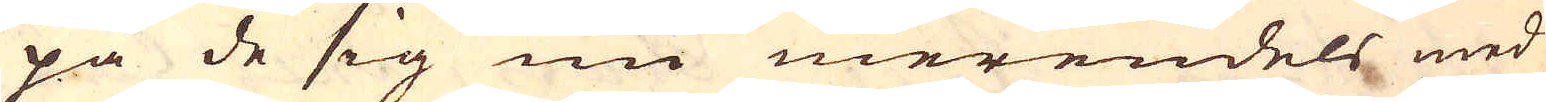pa de sig nu merendels med
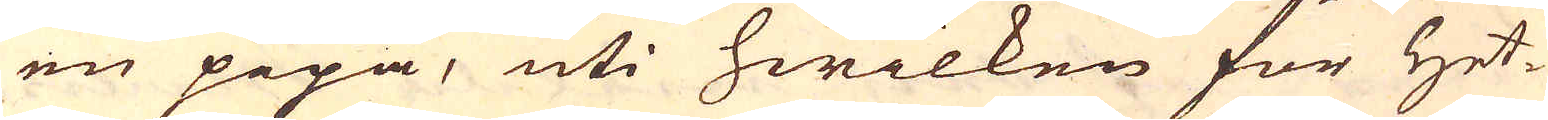en pipa, uti hwilken för Het-
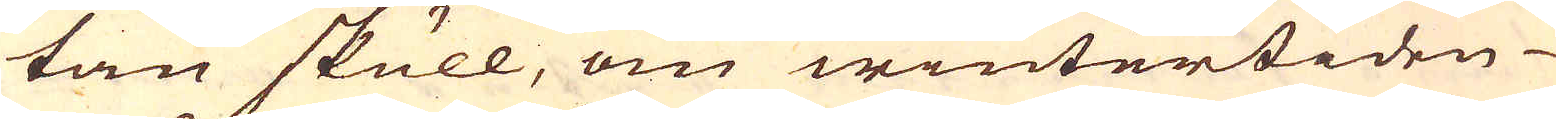tan skull, om wintertiden
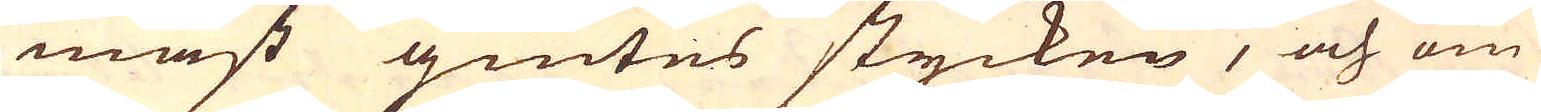mäst giutes stycken, och om
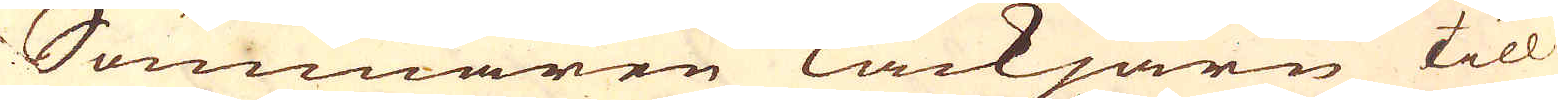Sommaren Tackjärn till
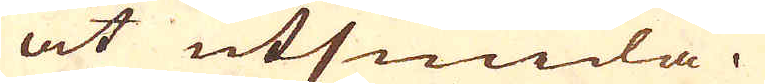at utsmida.
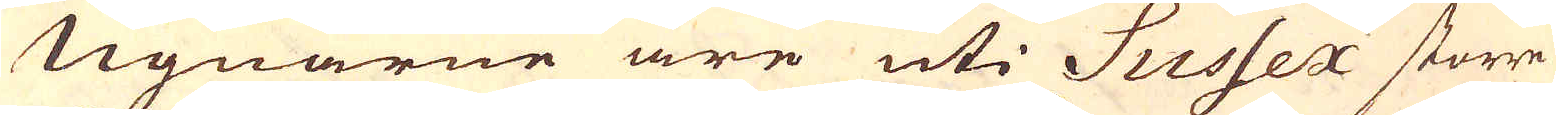Ugnarne äre uti Sussex större
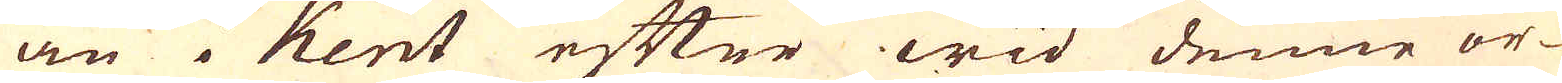än i Kent efter wid denne or-
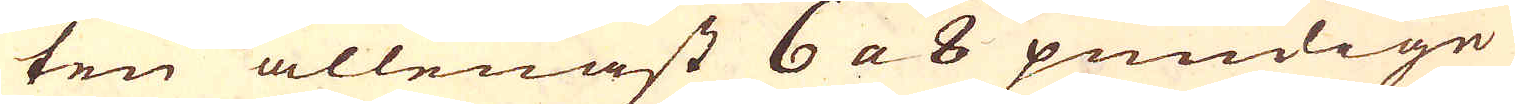ten allenast 6 a 8 pundige
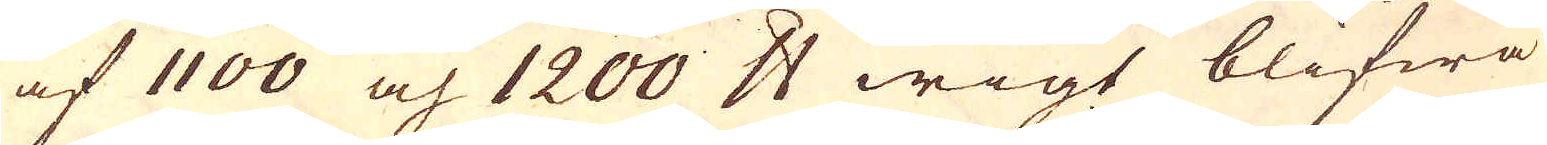af 1100 och 1200 skålpund wigt blifwa
